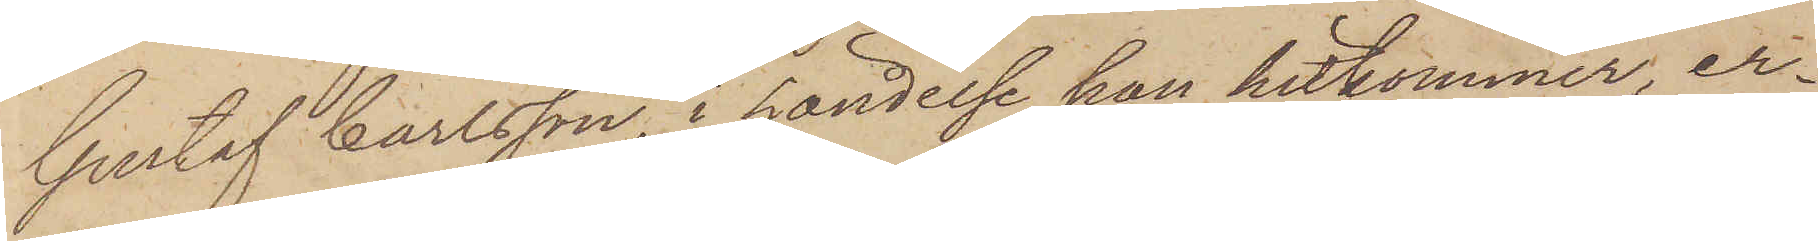Gustaf Carlsson, i händelse han hitkommer, er¬
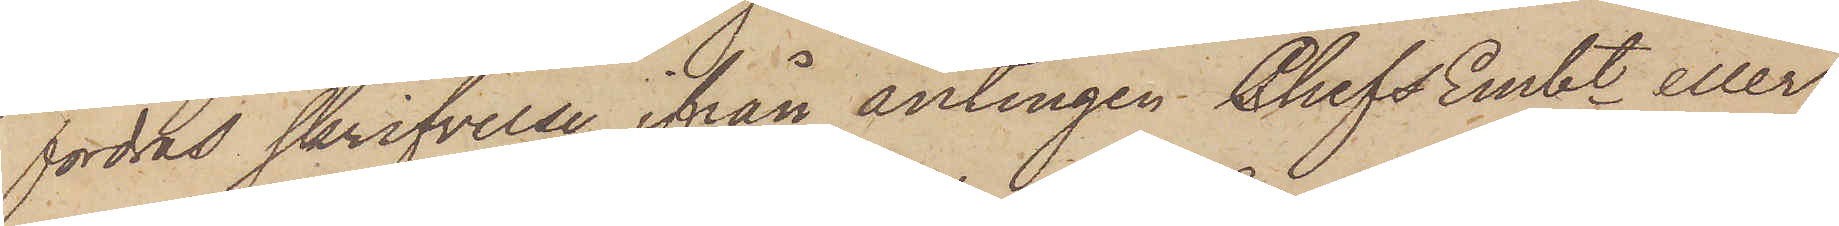fordras skrifvelse ifrån antingen Chefs Embt eller
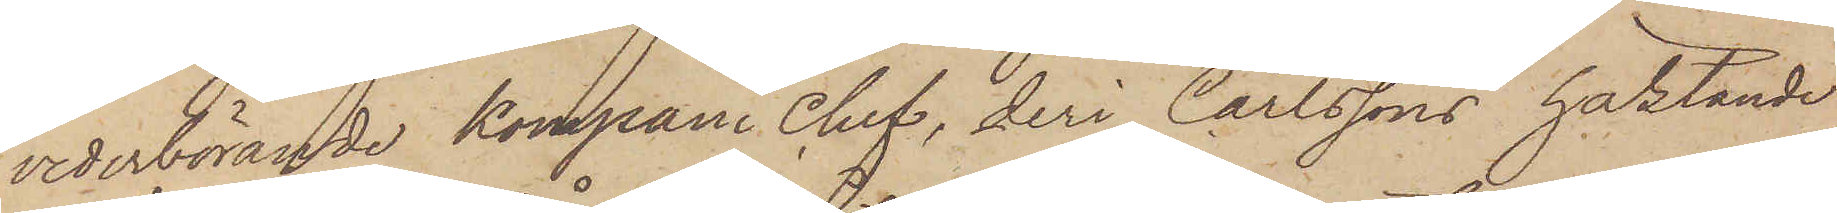vederbörande kompani chef, deri Carlssons häktande
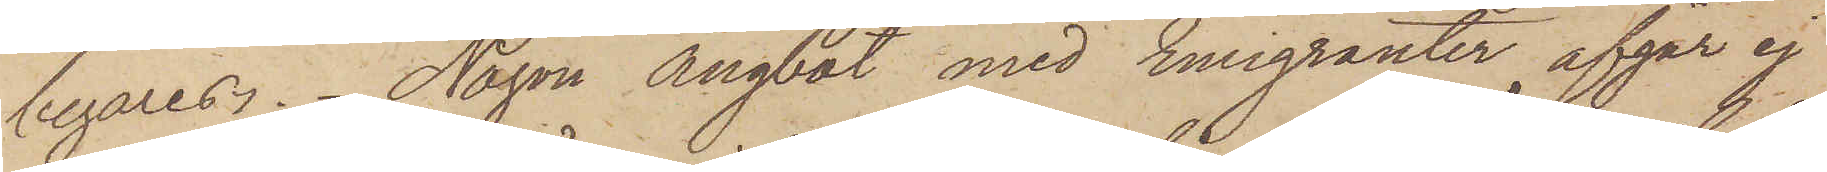begäres. Någon ångbåt med Emigranter afgår ej
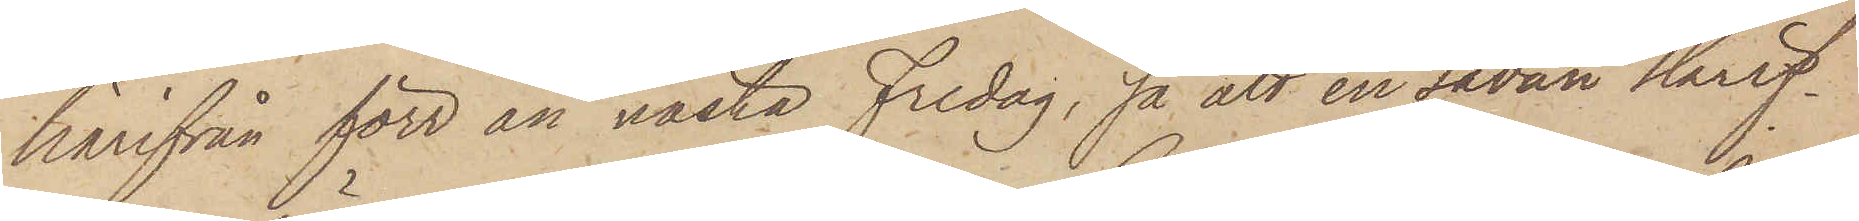härifrån förr än nästa Fredag, så att en sådan skrif¬
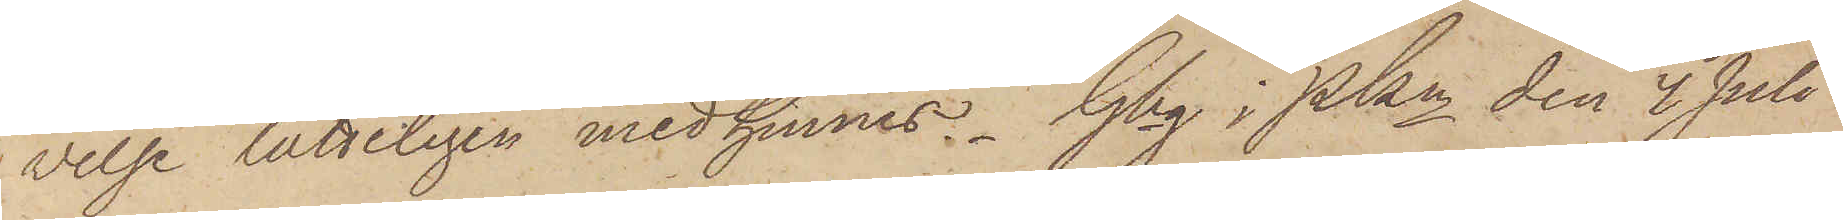velse lätteligen medhinnes. Gbg i Pkn den 4 Juli
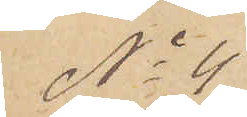No 4
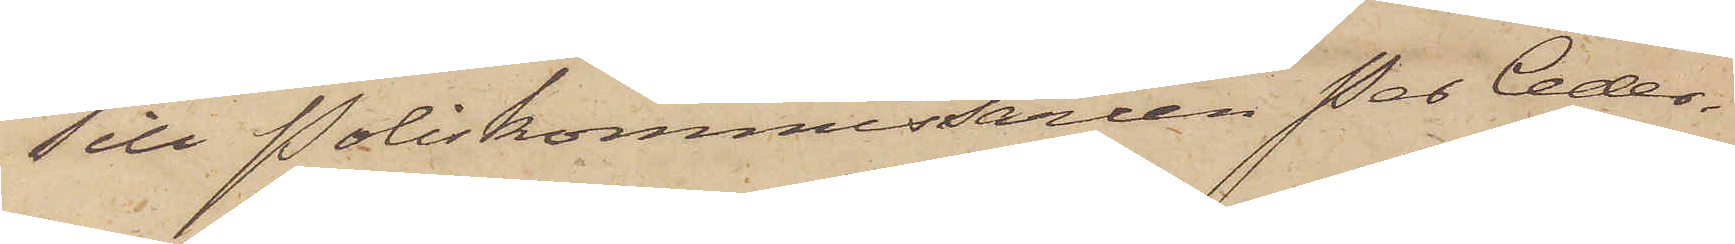Till Poliskommissarien Per Ceder¬
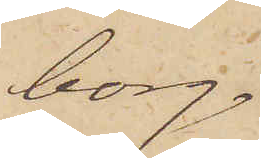borg.
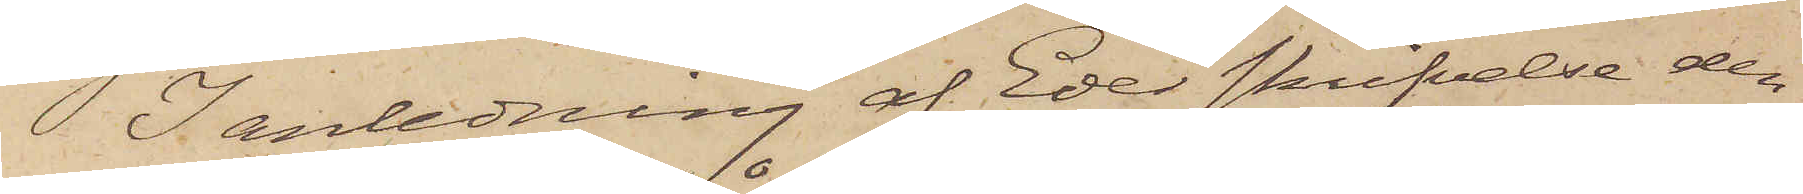I anledning af Eder skrifvelse den
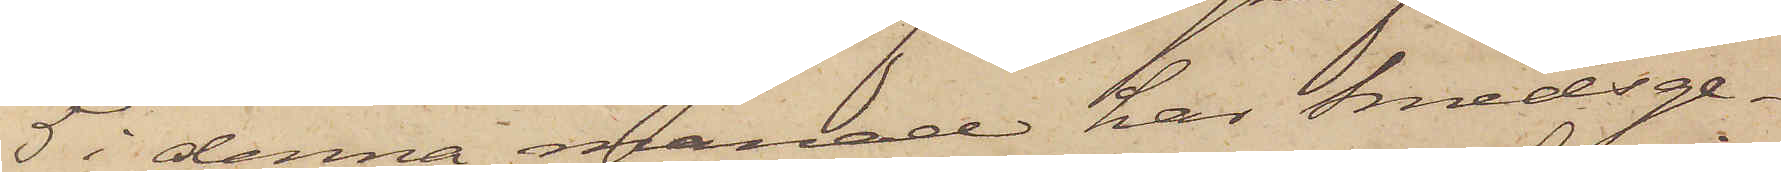5 i denna månad har Smedsge¬
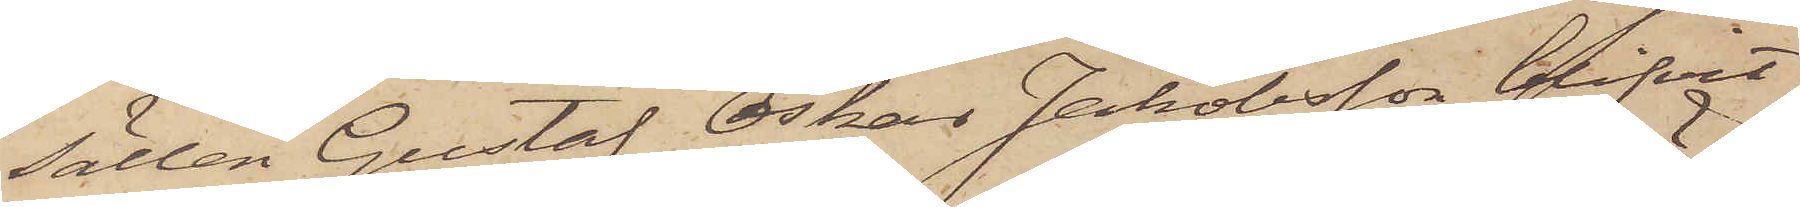sällen Gustaf Oskar Jakobsson blifvit
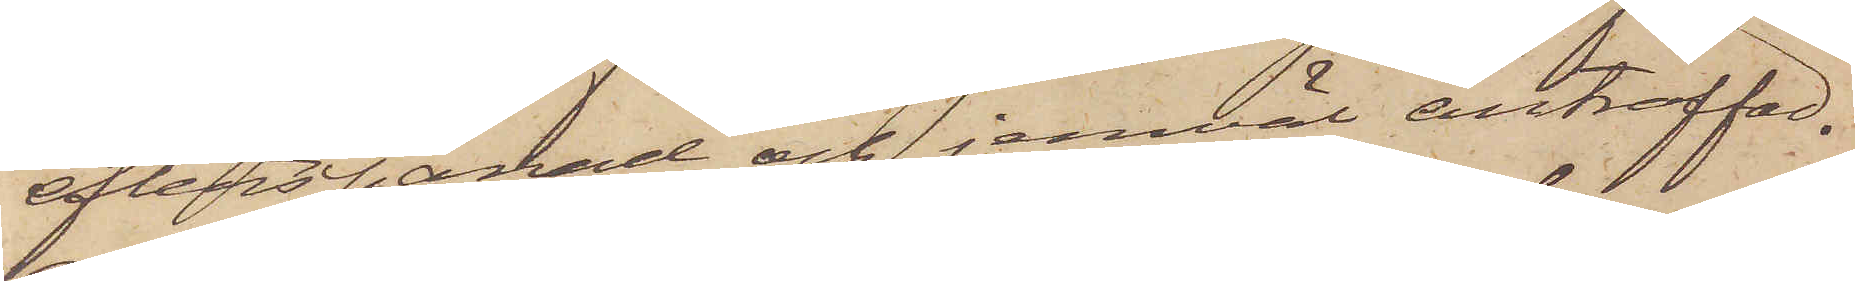efterspanad och jemväl anträffad.
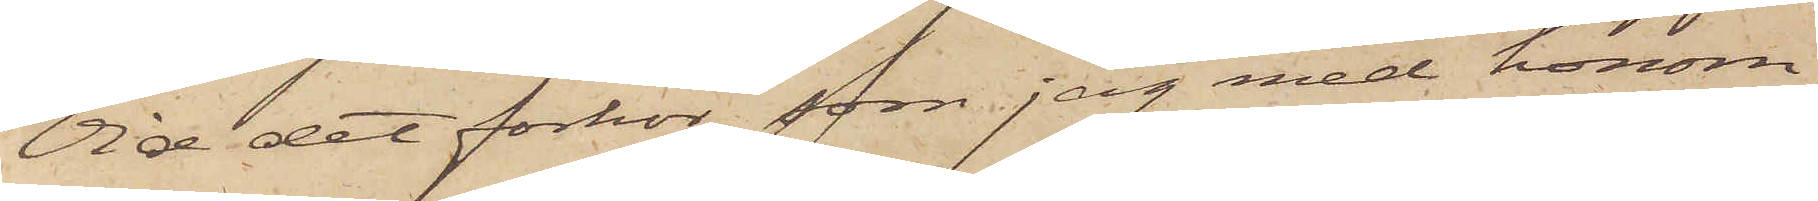Vid det förhör som jag med honom
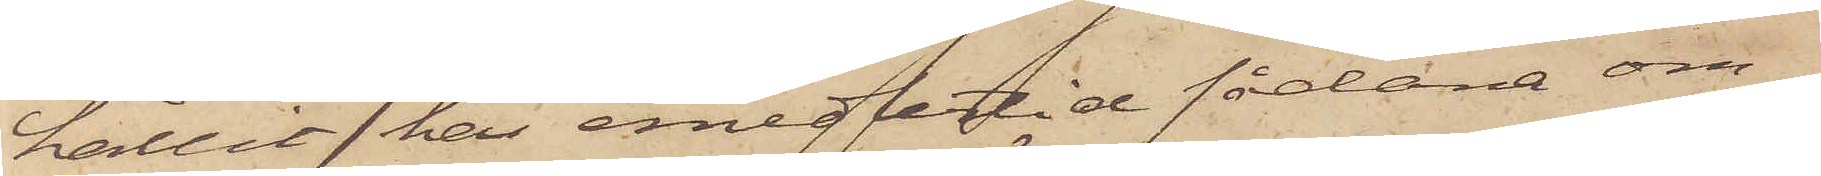hållit har emedlertid sådane om¬
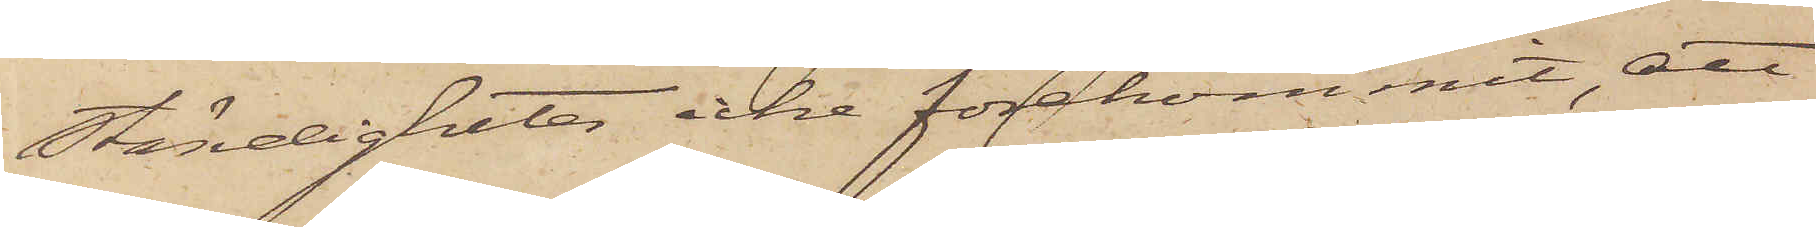ständigheter icke förekommit, att
